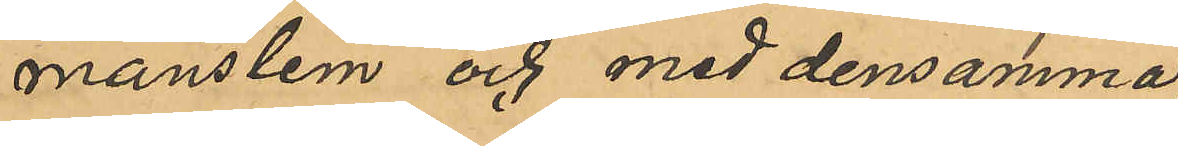manslem och med densamma
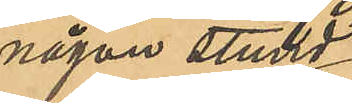någon stund
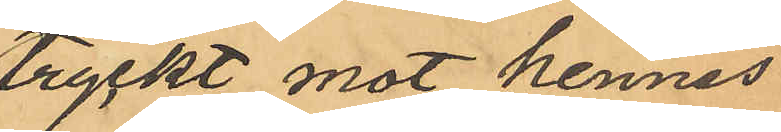tryckt mot hennes
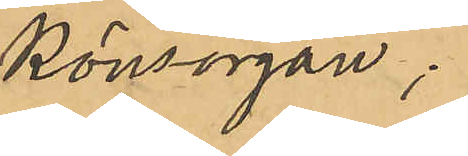könsorgan;
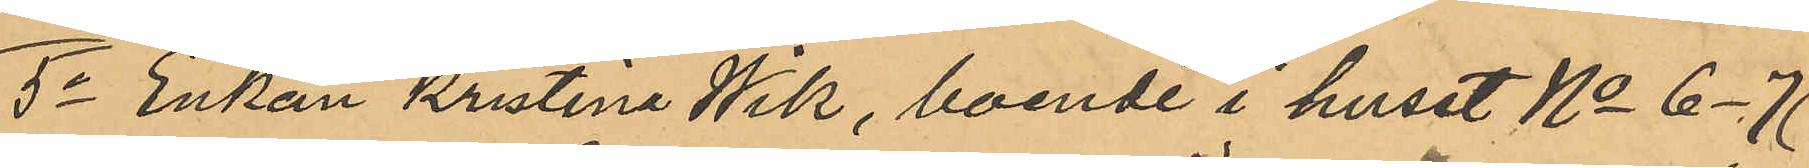5o Enkan Kristina Wik, boende i huset No 6-7
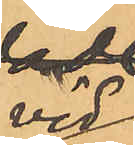vid
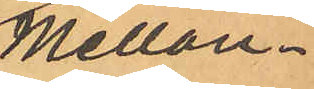Mellan¬
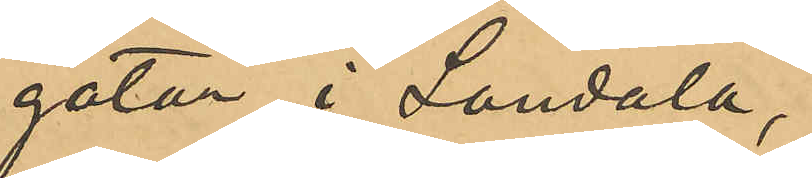gatan i Landala,
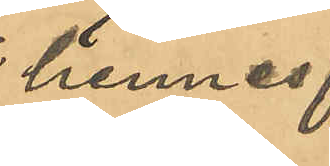hennes
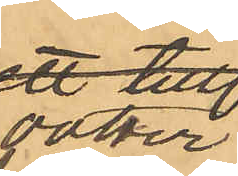dotter
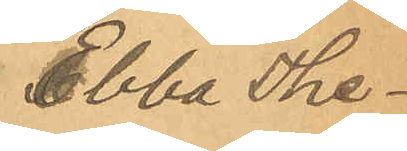Ebba The¬
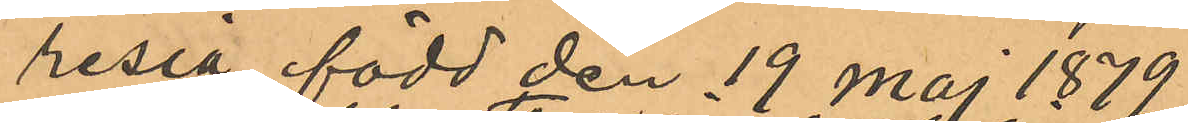resia, född den 19 Maj 1879,
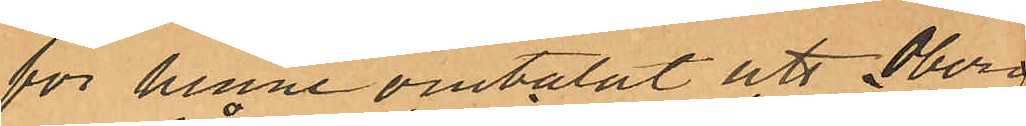för henne omtalat att  Öberg
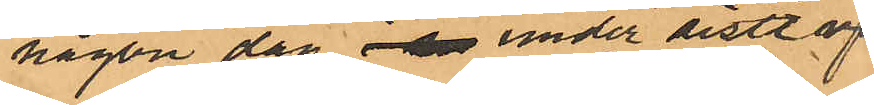någon dag  under sistl april
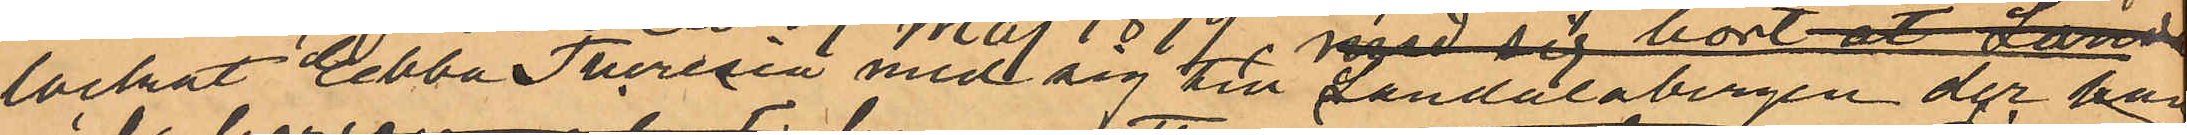lockat Ebba Theresia med sig till Landalabergen der han
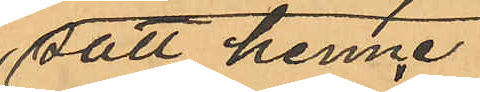satt henne
